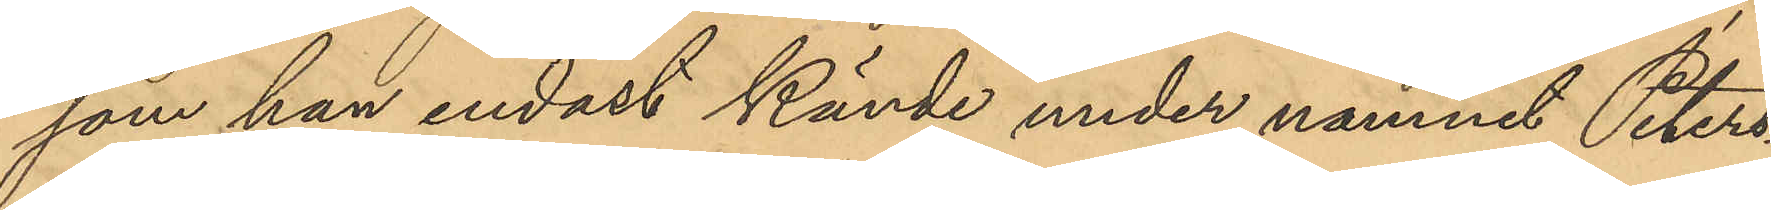som han endast kände under namnet Peters¬
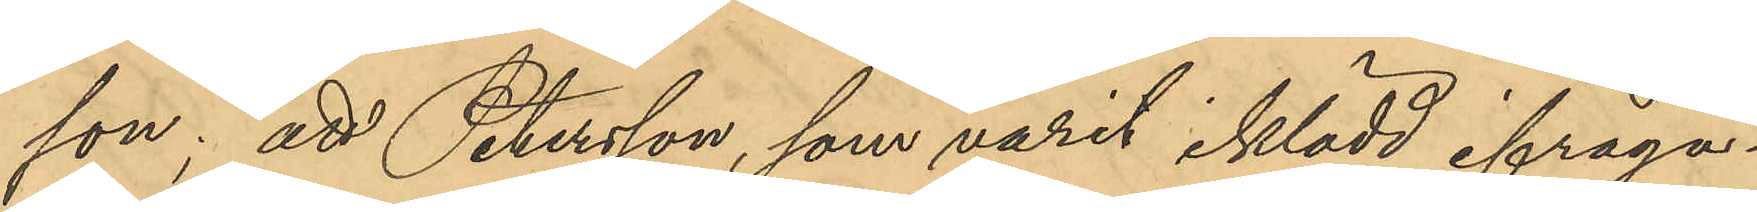son; att Petersson, som varit iklädd ifråga¬
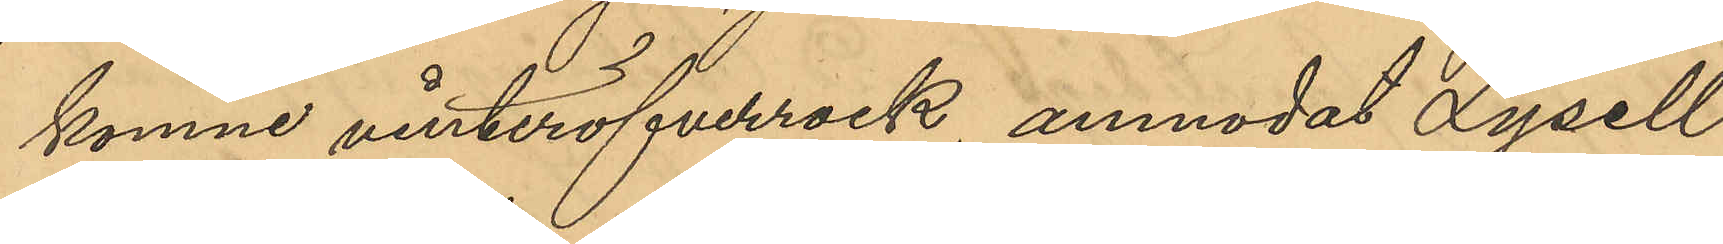komne vinteröfverrock, anmodat Lysell
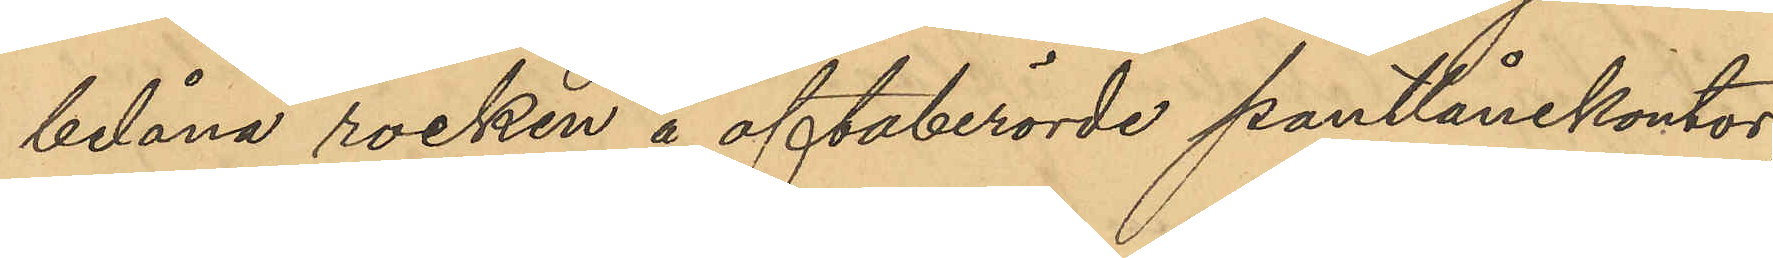belåna rocken å oftaberörde pantlånekontor;
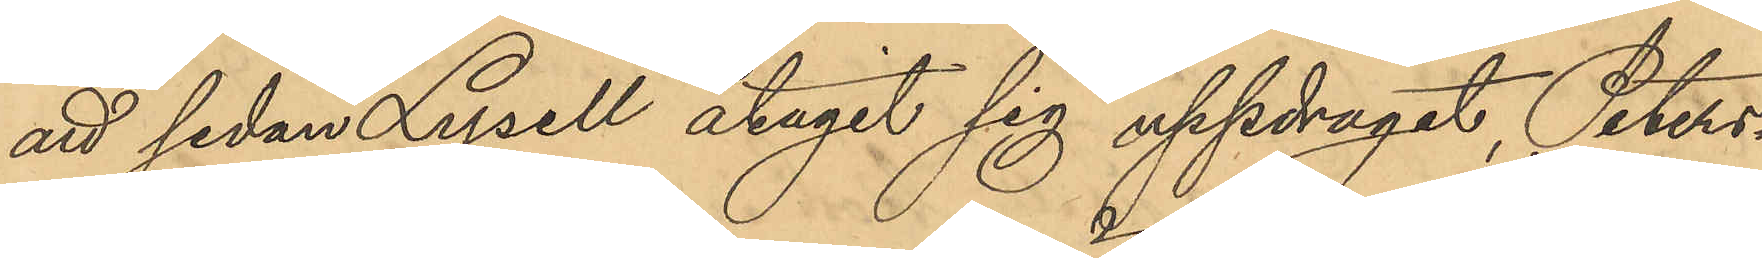att sedan Lysell åtagit sig uppdraget, Peters¬
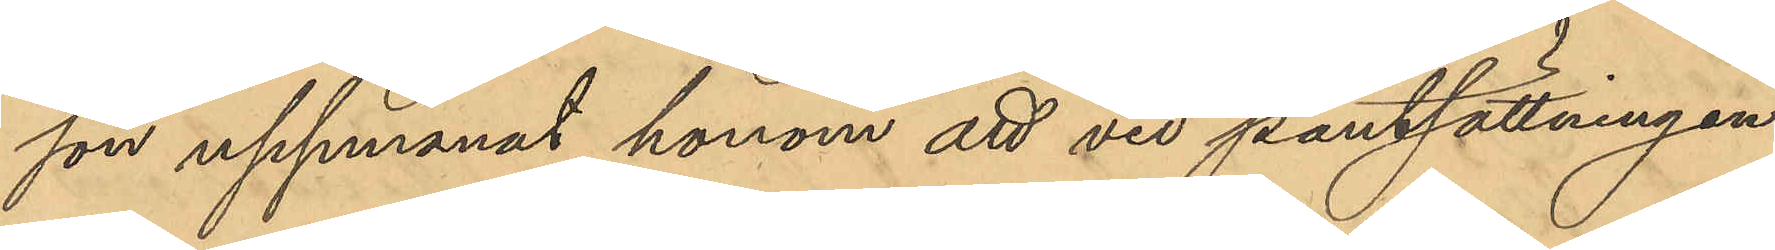son uppmanat honom att vid pantsättningen
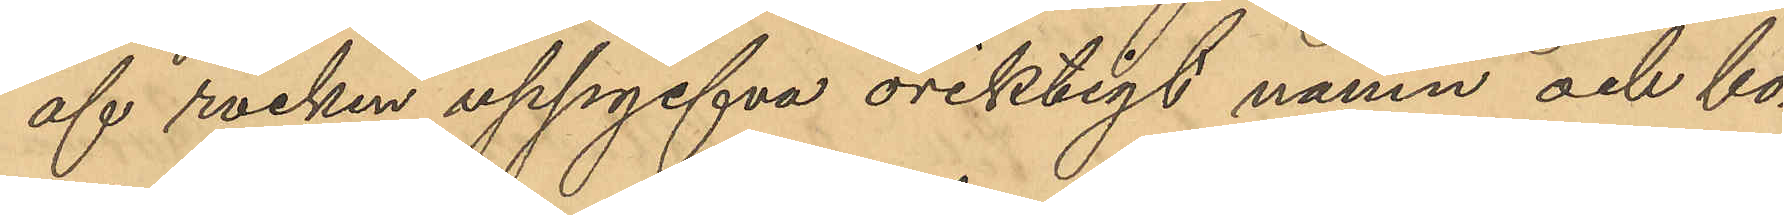af rocken uppgifva oriktigt namn och bo¬
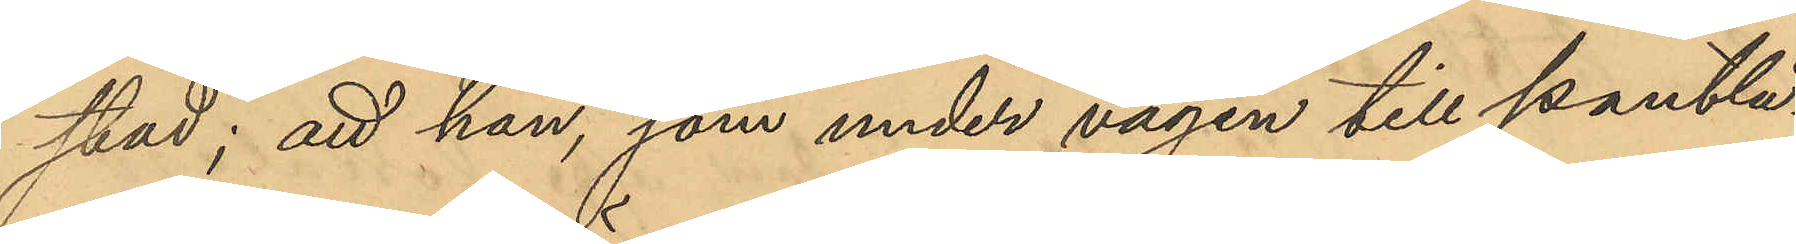stad; att han, som under vägen till pantlå¬
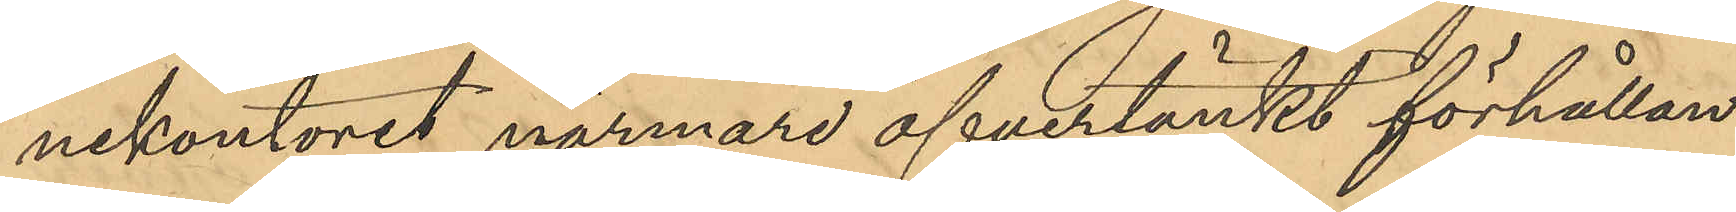nekontoret närmare öfvertänkt förhållan¬
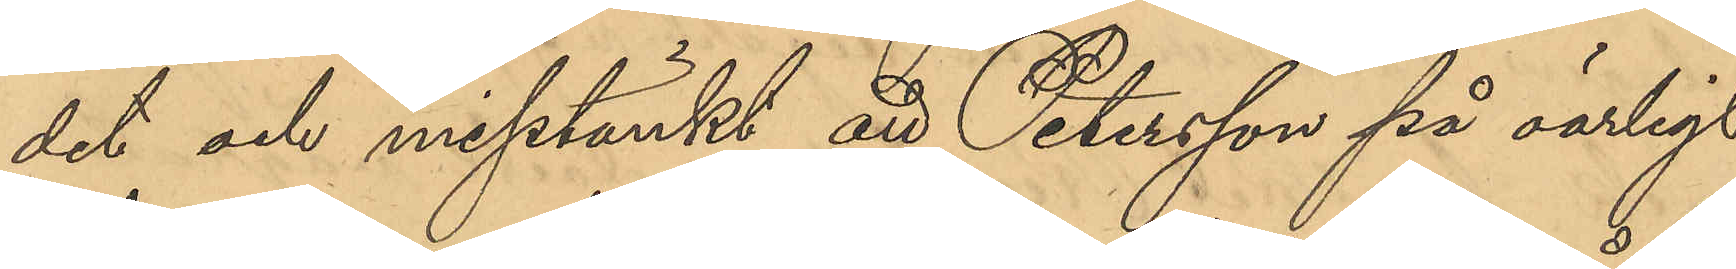det och misstänkt att Petersson på oärligt
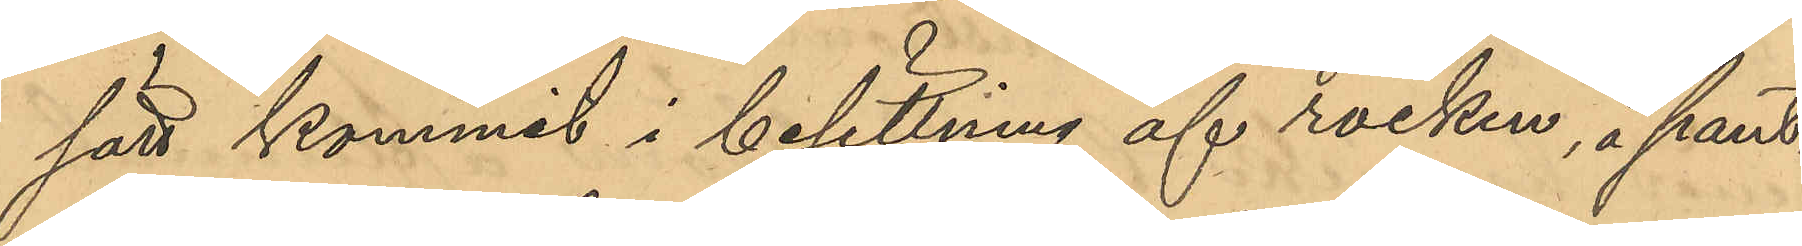sätt kommit i besittning af rocken, å pant¬
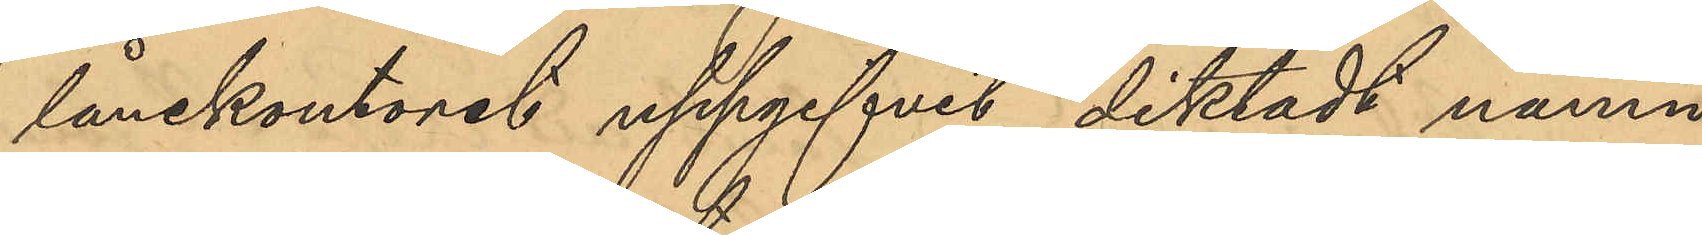lånekontoret uppgifvit diktat namn
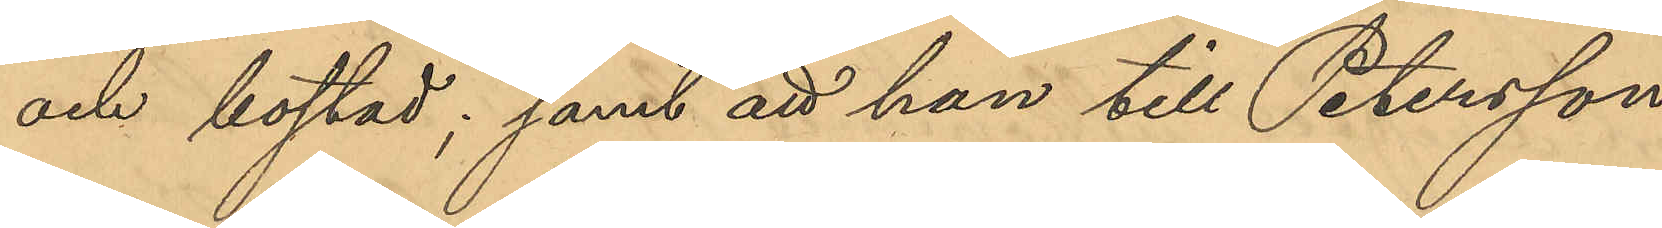och bostad; samt att han till Petersson
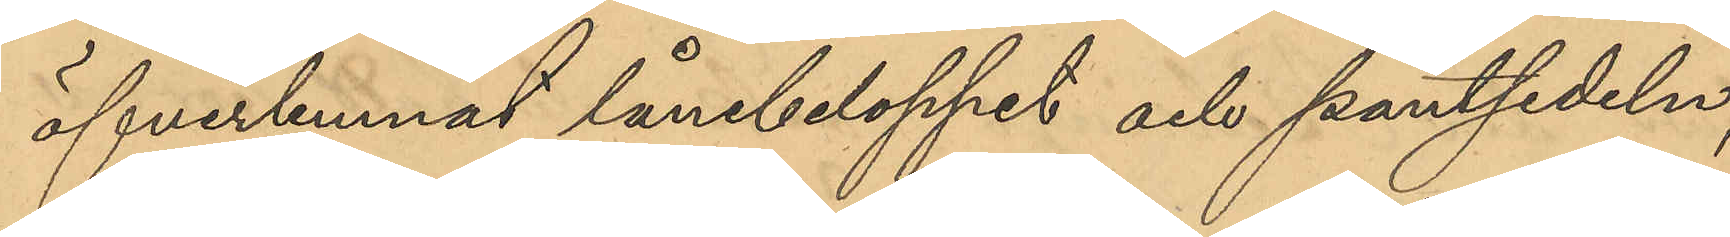öfverlemnat lånebeloppet och pantsedeln,
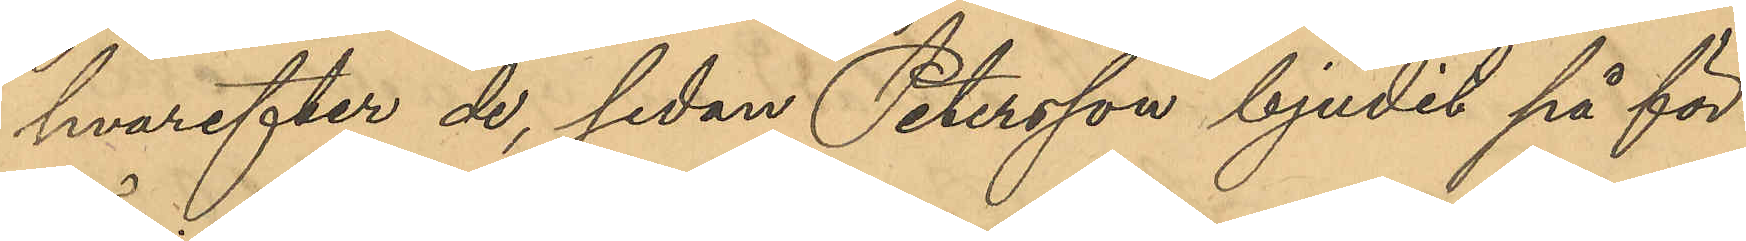hvarefter de, sedan Petersson bjudit på för¬
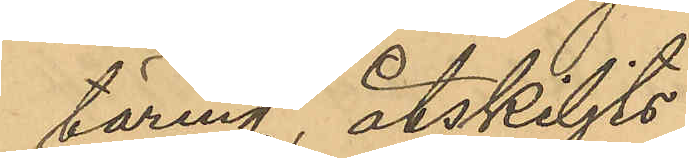täring åtskiljts.
